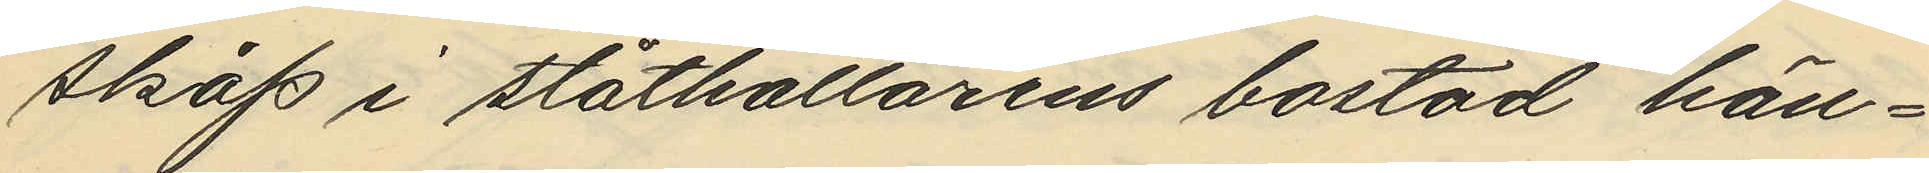skåp i ståtkällarens bostad hän¬
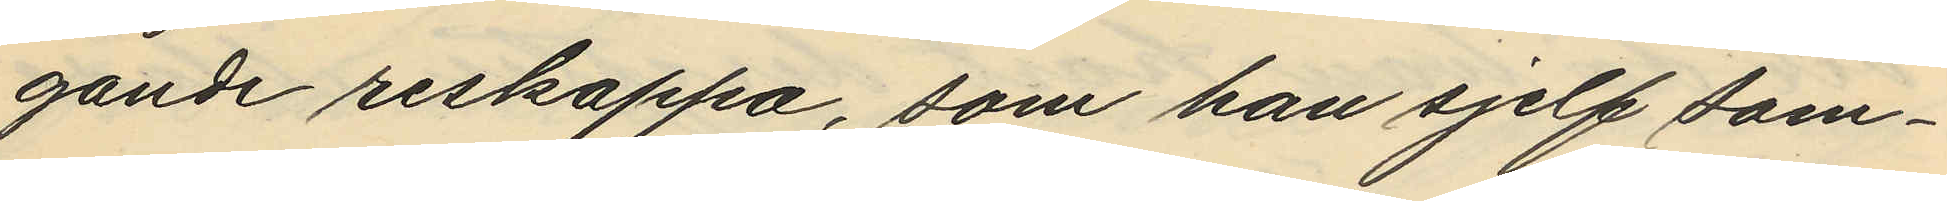gande reskappa, som han sjelf sam¬
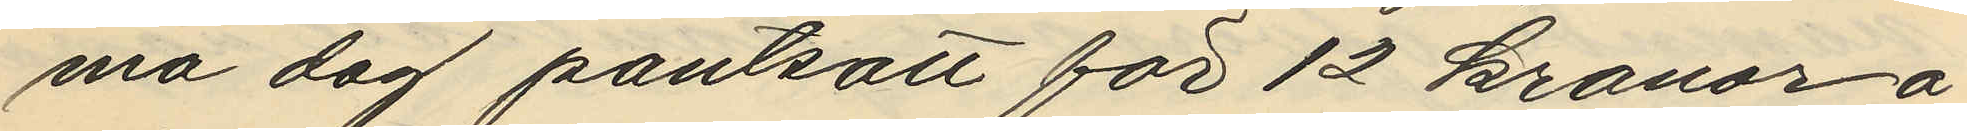ma dag pantsatt för 12 kronor å
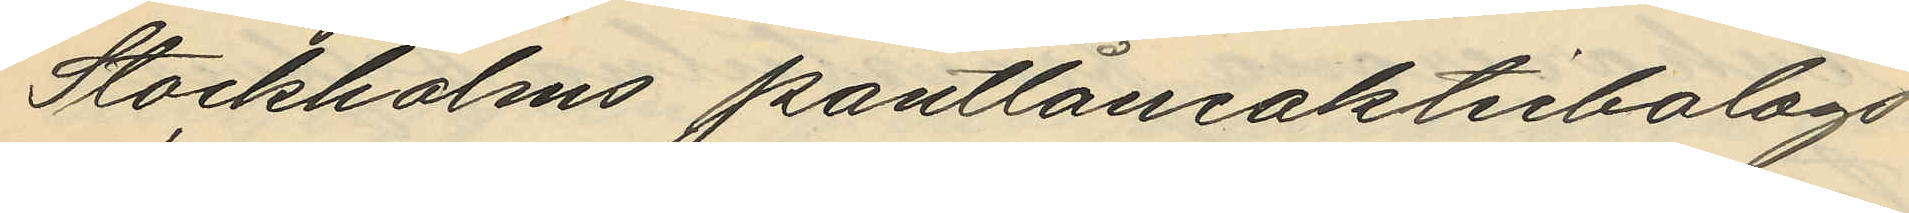Stockholms pantlåneaktiebolags
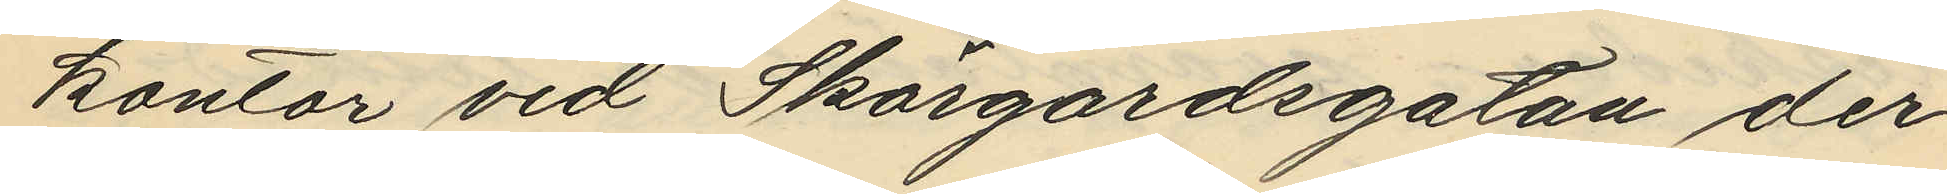kontor vid Skärgårdsgatan der
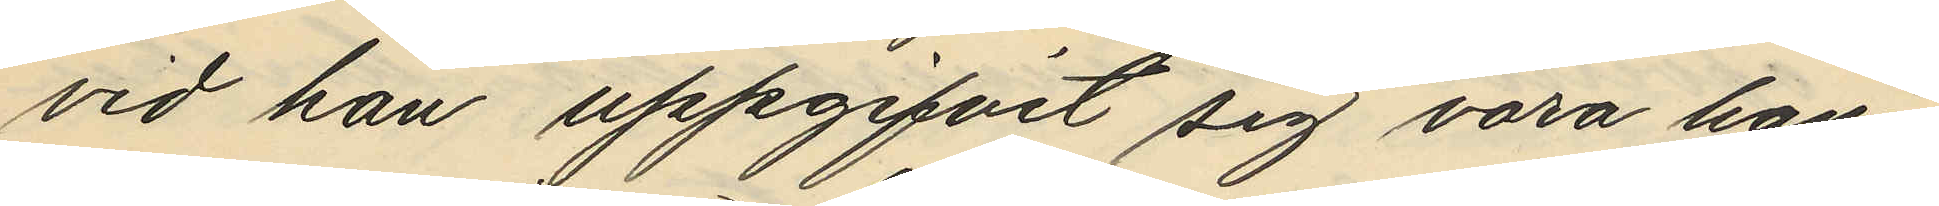vid han uppgifvit sig vara han¬
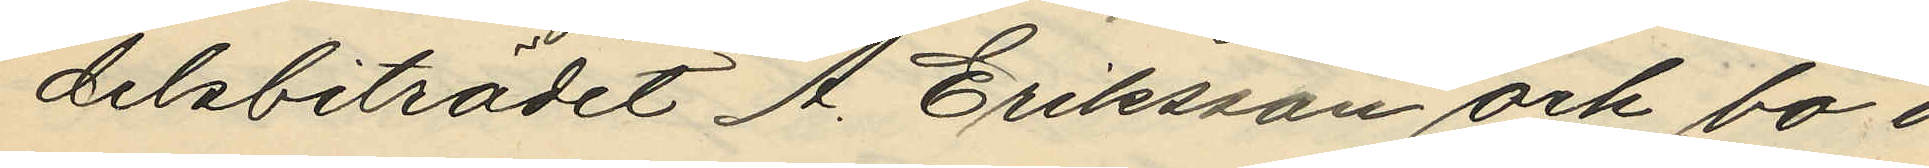delsbiträdet A. Eriksson och bo i
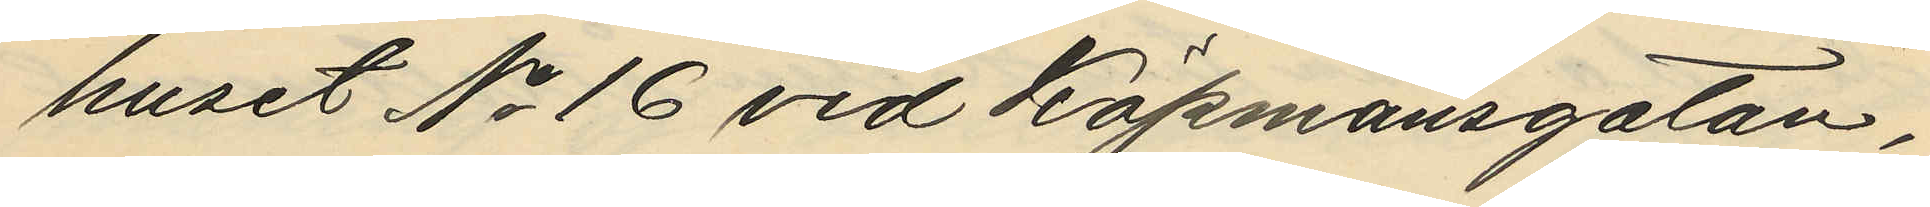huset No 16 vid Köpmansgatan
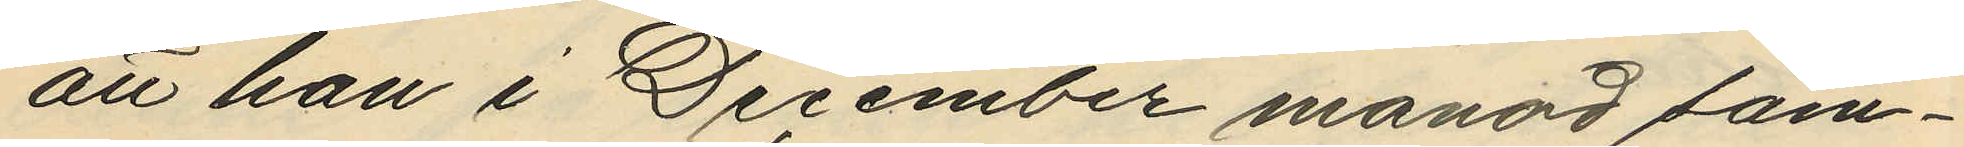att han i December månad sam¬
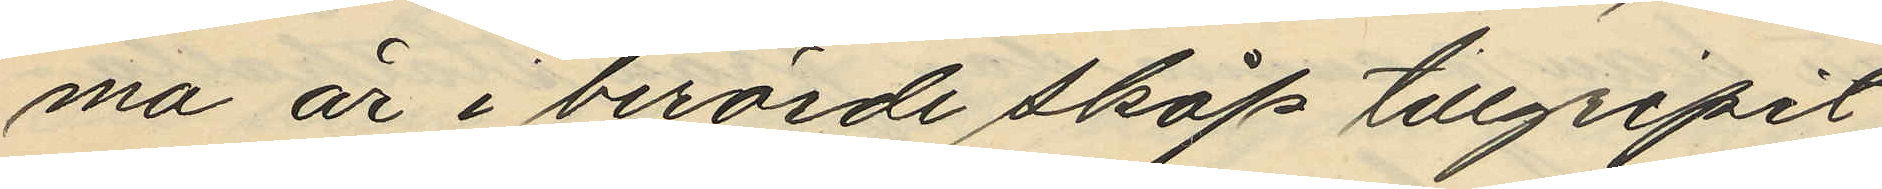ma är i berörde skåp tillgripit
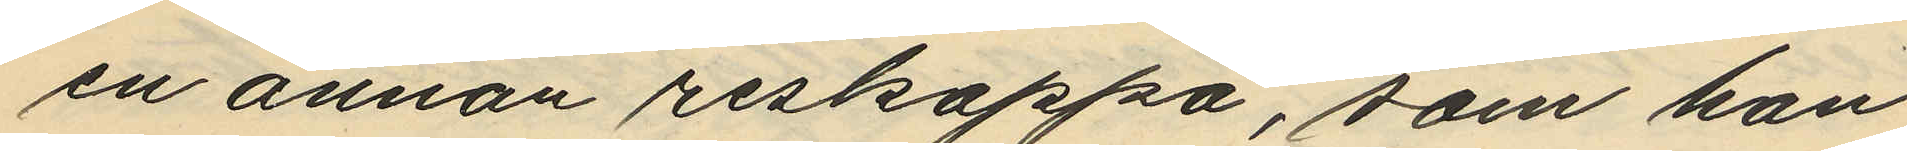en annan reskappa, som han
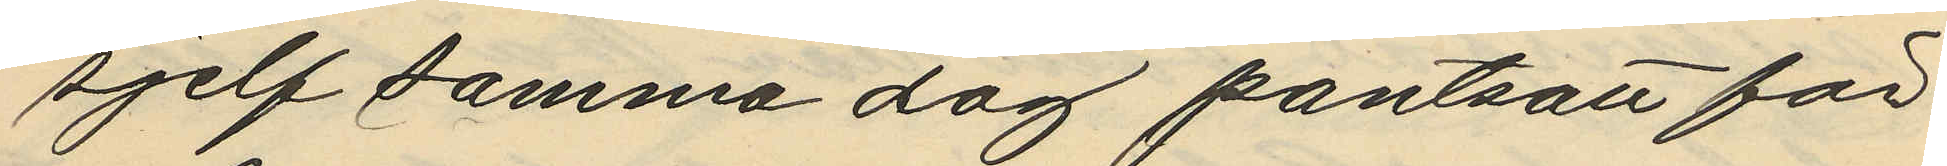sjelf samma dag pantsatt för
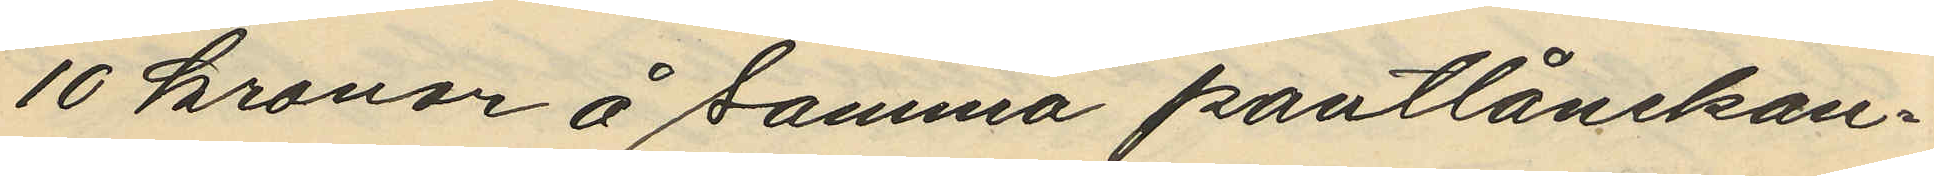10 kronor å samma pantlånekon¬
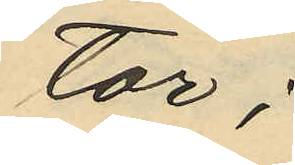tor;
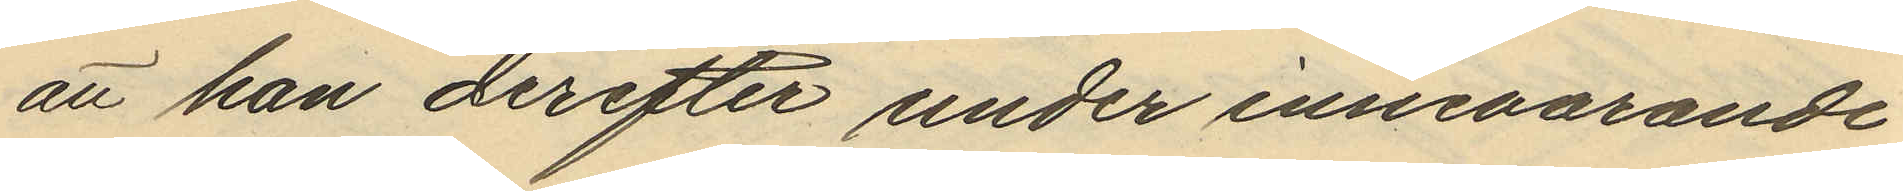att han derefter under innevarande
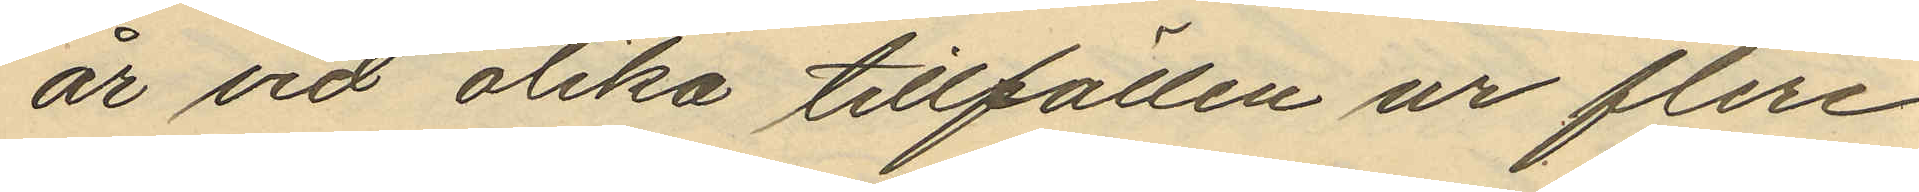år vid olika tillfällen ur flera
